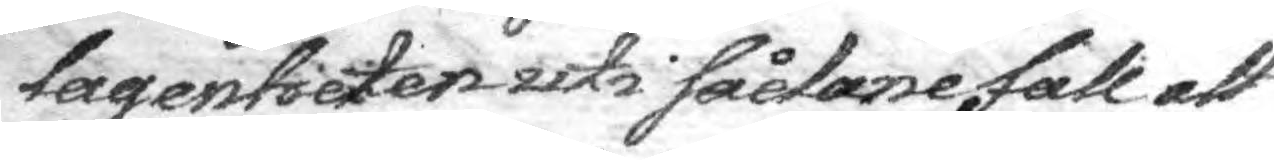lagenheten uti sådane fall att
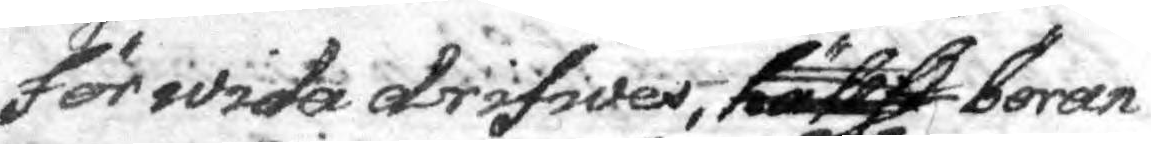för wida drifwes, hällst böran¬
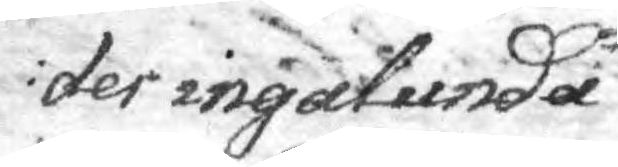der ingalunda
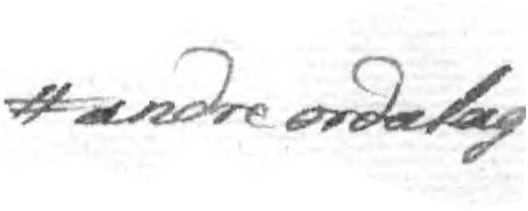andre ordalag
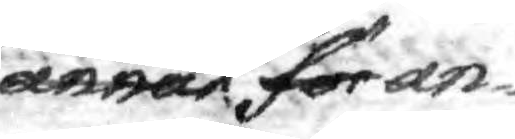annan för såsom an¬
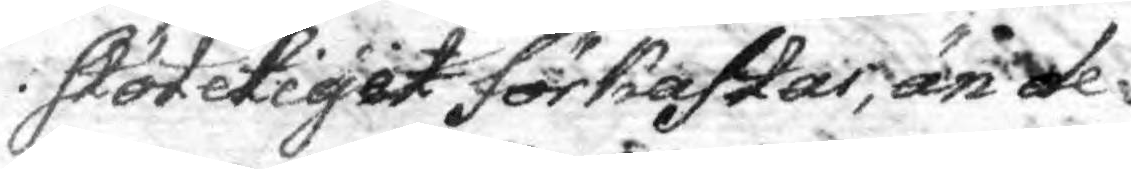stöteligit förkastas, än de
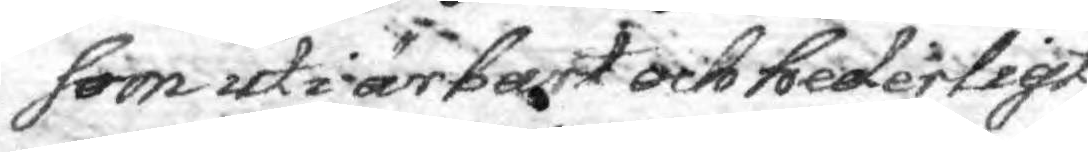som uti ärbart och hederligt
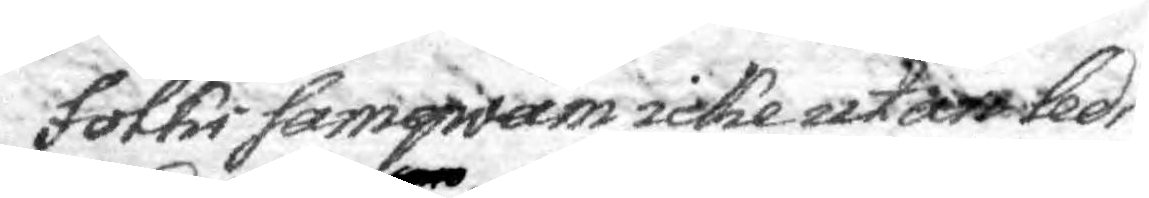Folks samqväm icke utan leds¬
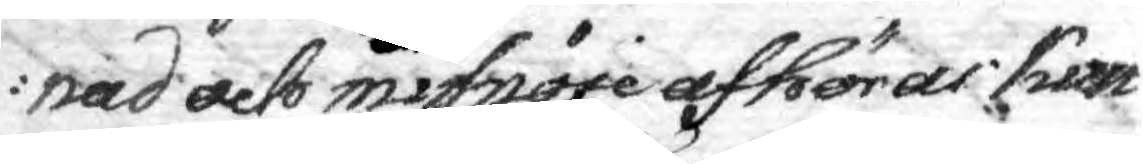nad och missnöje afhöras kun¬
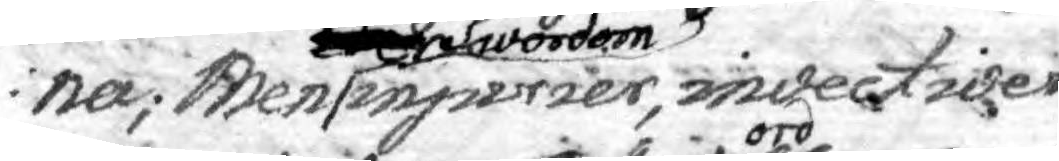na; Men Swordom inpurier, invectiver
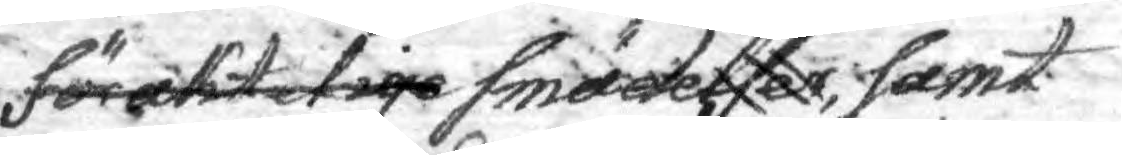för aktelige smädelserord, samt
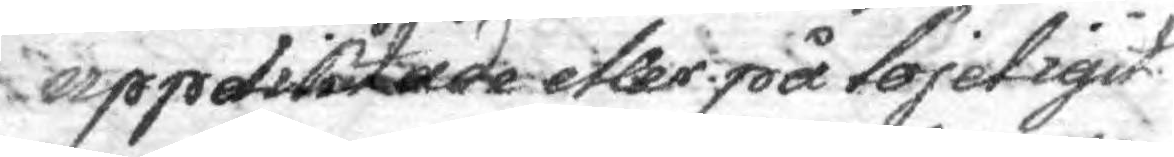uppdiktade eller på löjeligit 
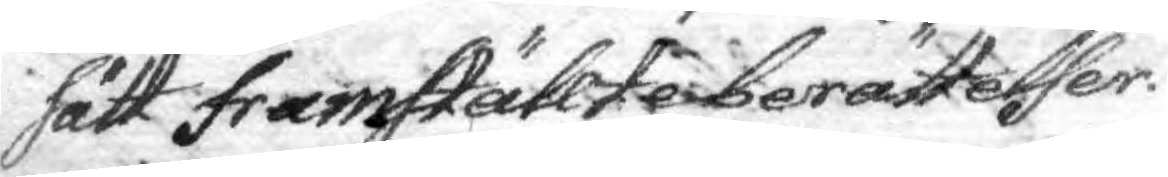sätt framställt i berättelser
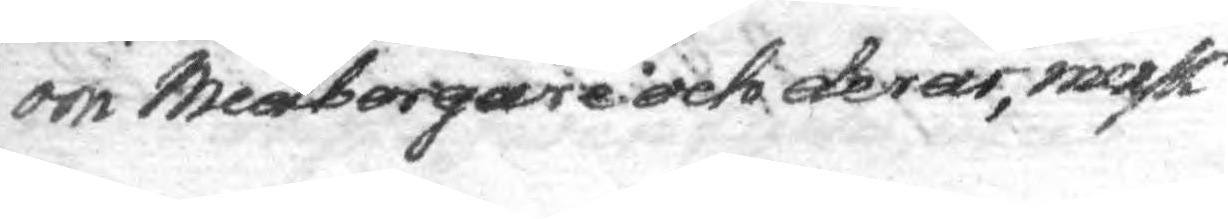om Medborgare och deras, merk¬
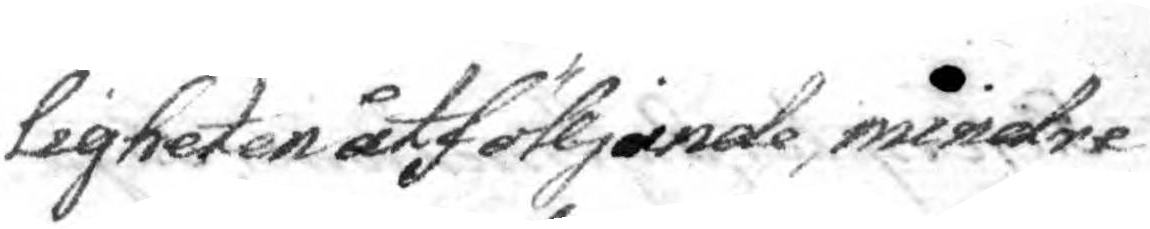ligheten åtföljande mindre
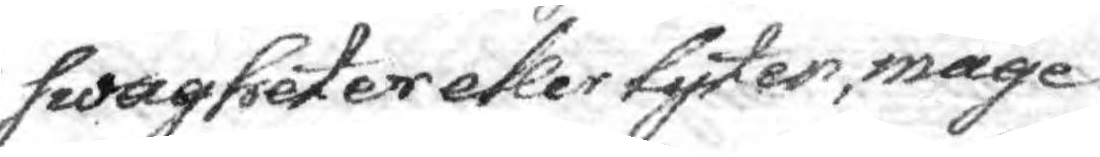swagheter eller lyten, måge
